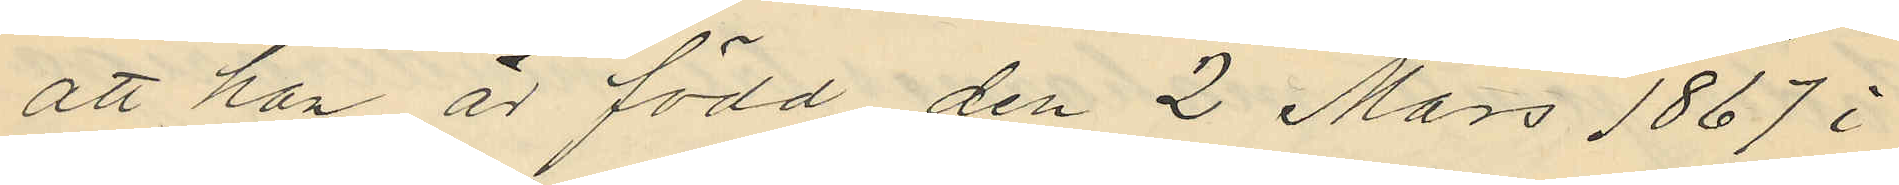att han är född den 2 Mars 1867 i
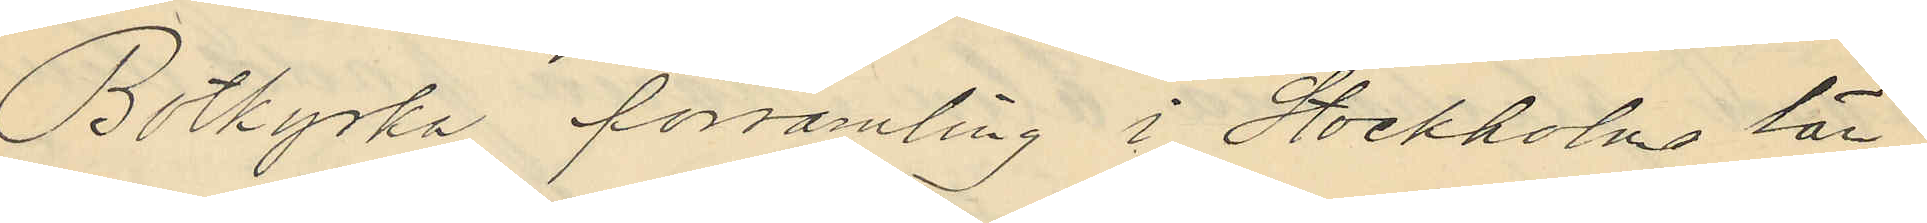Botkyrka församling i Stockholms län
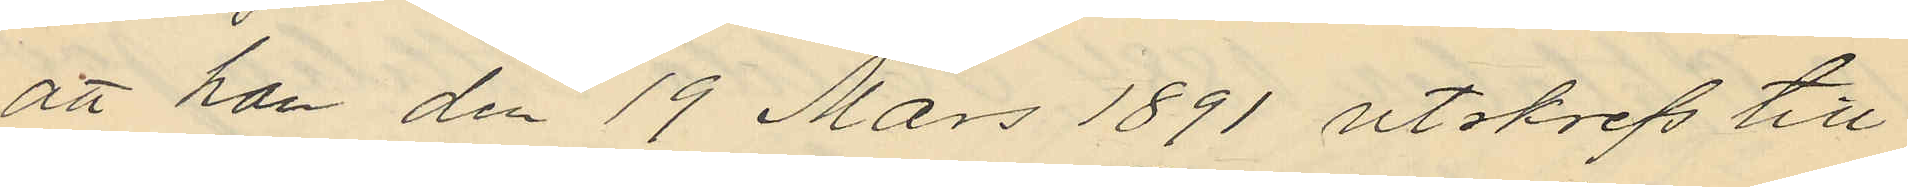att han den 19 Mars 1891 utskrefs till
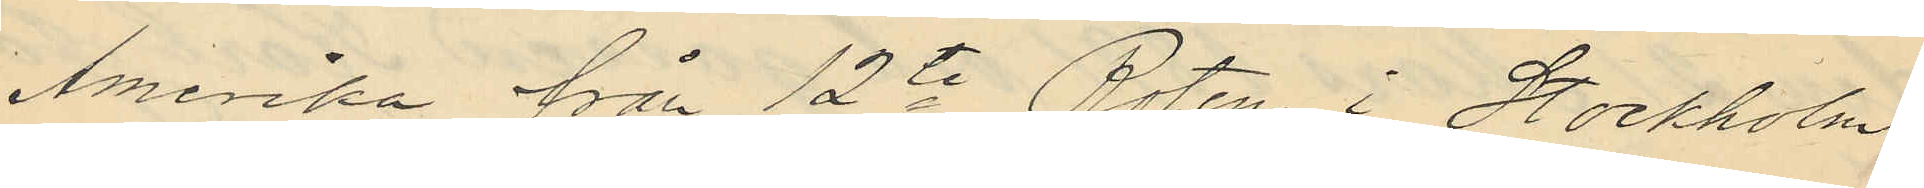Amerika från 12te Roten i Stockholm
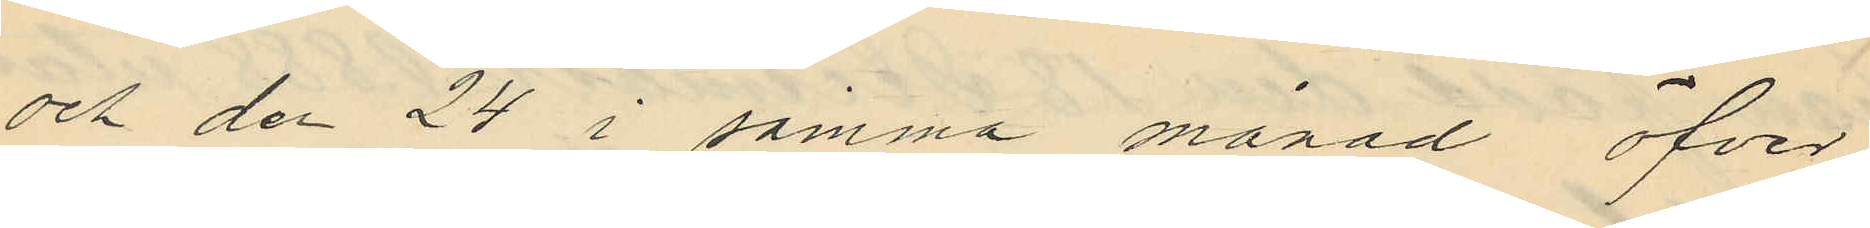och den 24 i samma månad öfver
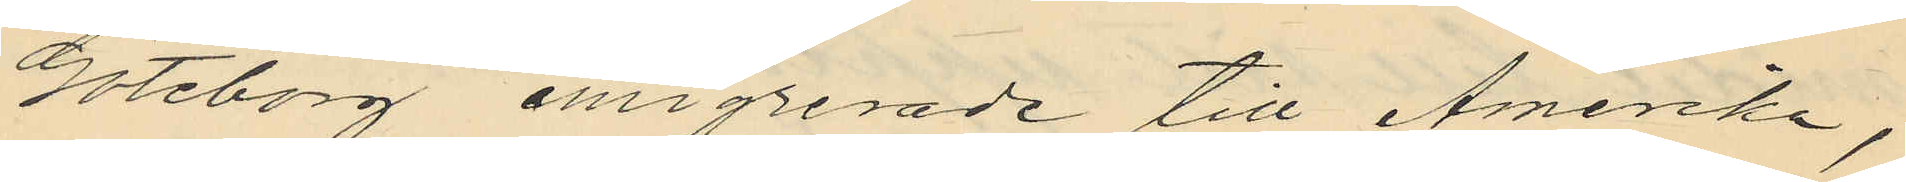Göteborg emigrerade till Amerika,
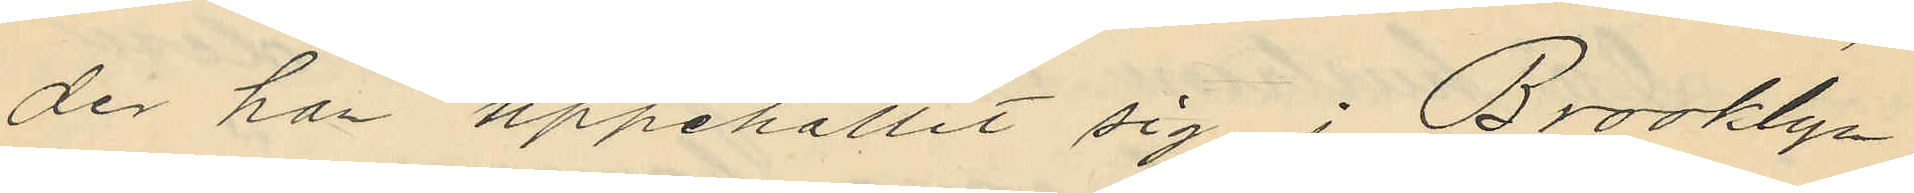der han uppehållit sig i Brooklyn
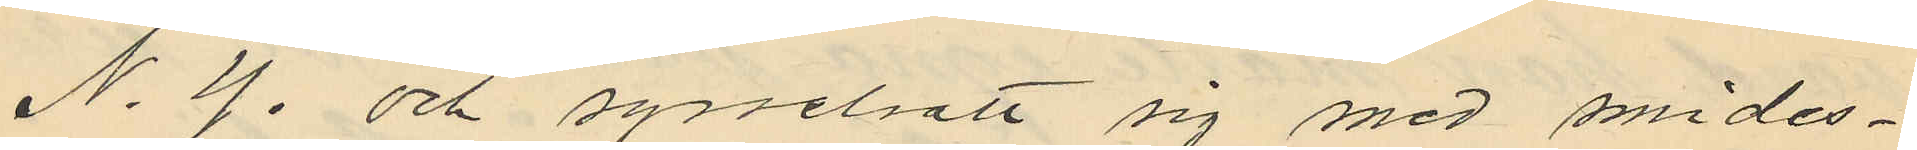N. Y. och sysselsatt sig med smides¬
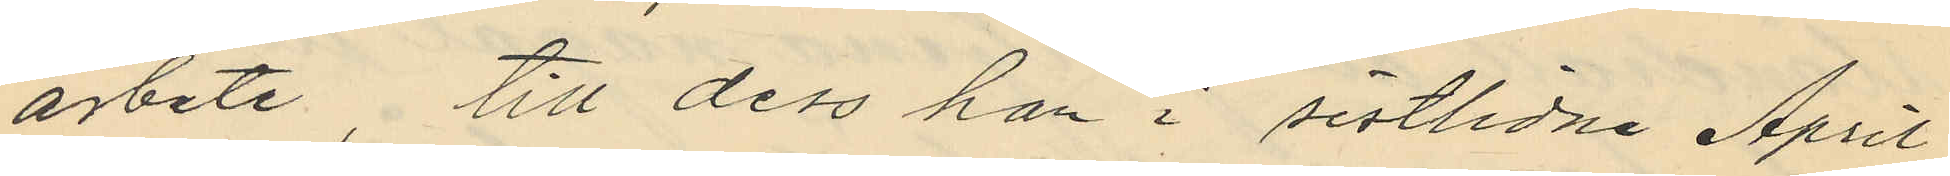arbete, till dess han i sistlidne April
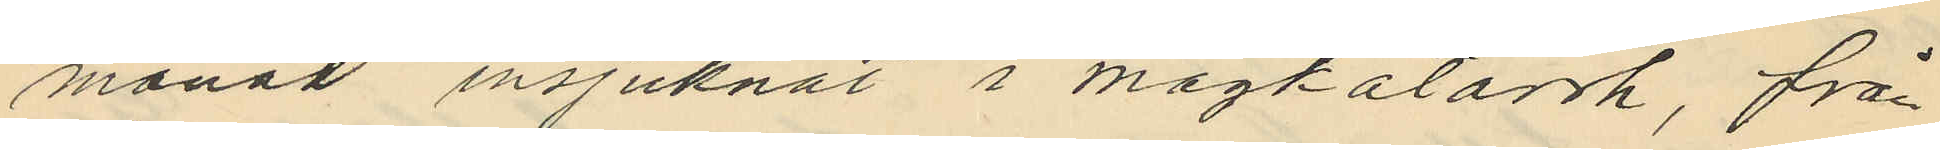månad insjuknat i magkatarrh, från
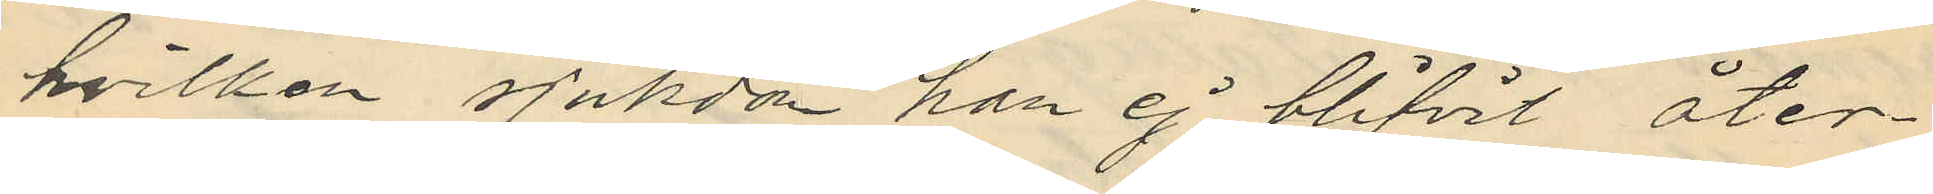hvilken sjukdom han ej blifvit åter¬
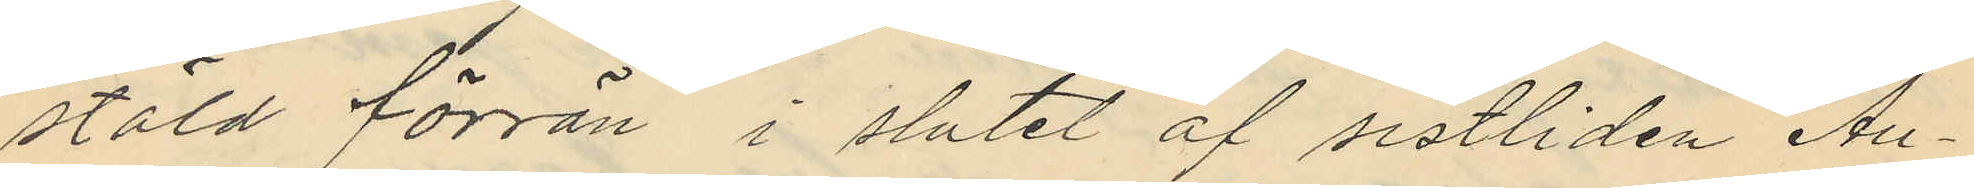stäld förrän i slutet af sistliden Au¬
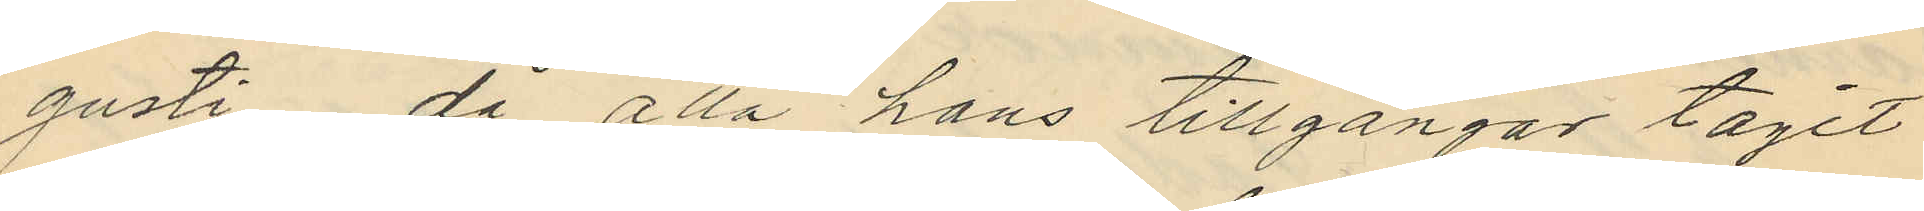gusti då alla hans tillgångar tagit
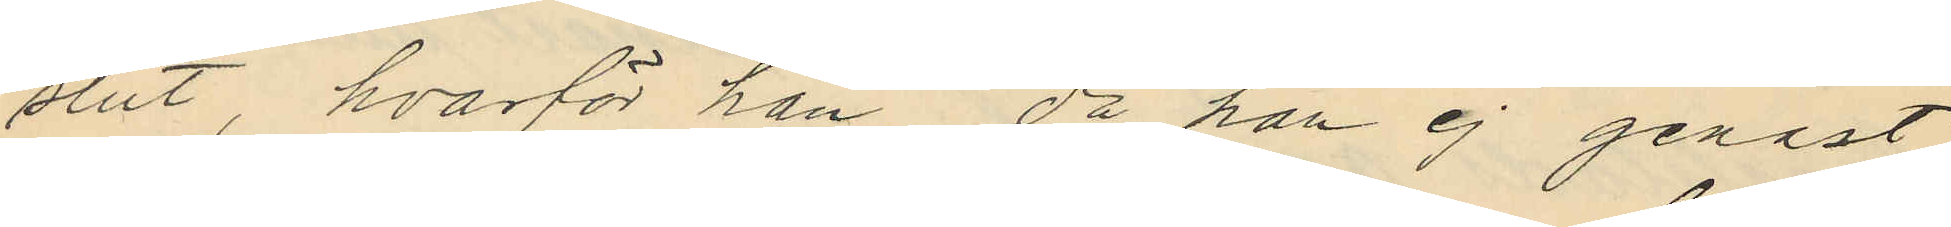slut, hvarför han då han ej genast
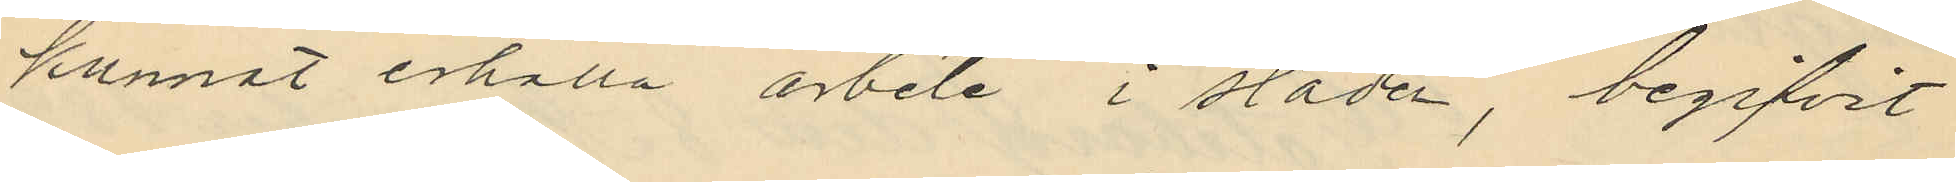kunnat erhålla arbete i staden, begifvit
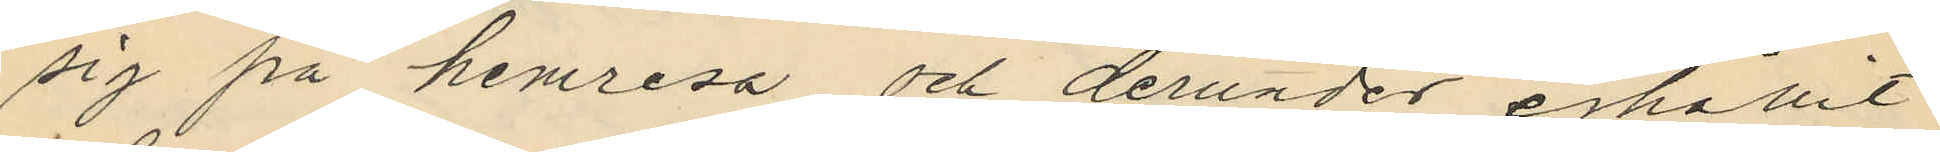sig på hemresa och derunder erhållit
